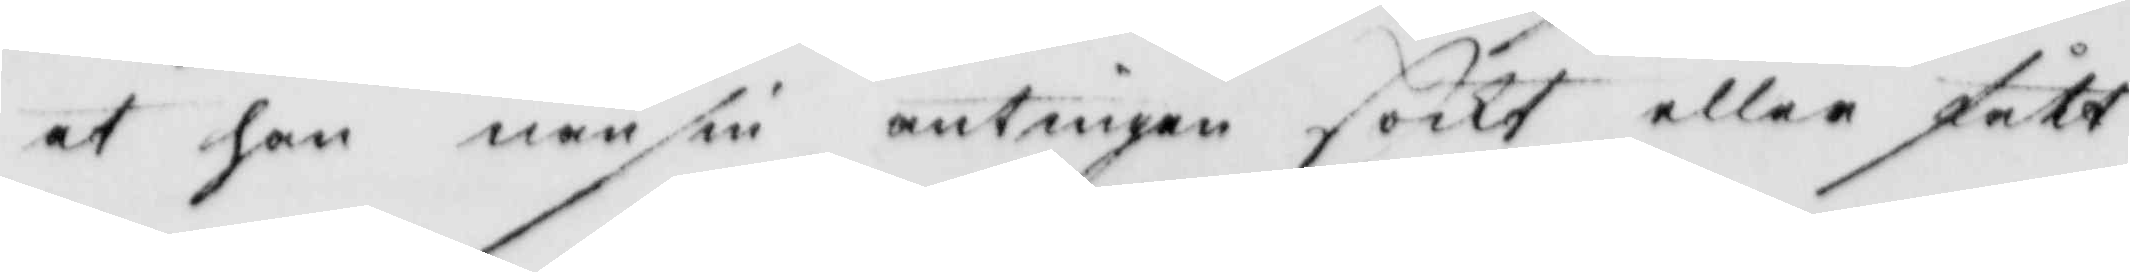at han nånsin antingen söckt eller fått
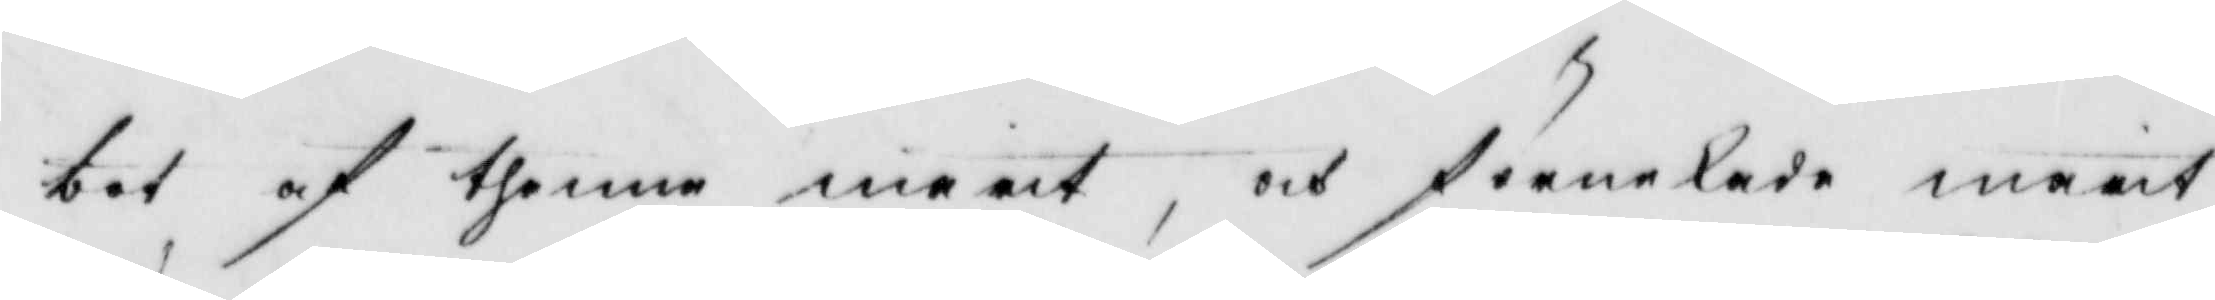bot af thenne marit, och förnekade marit
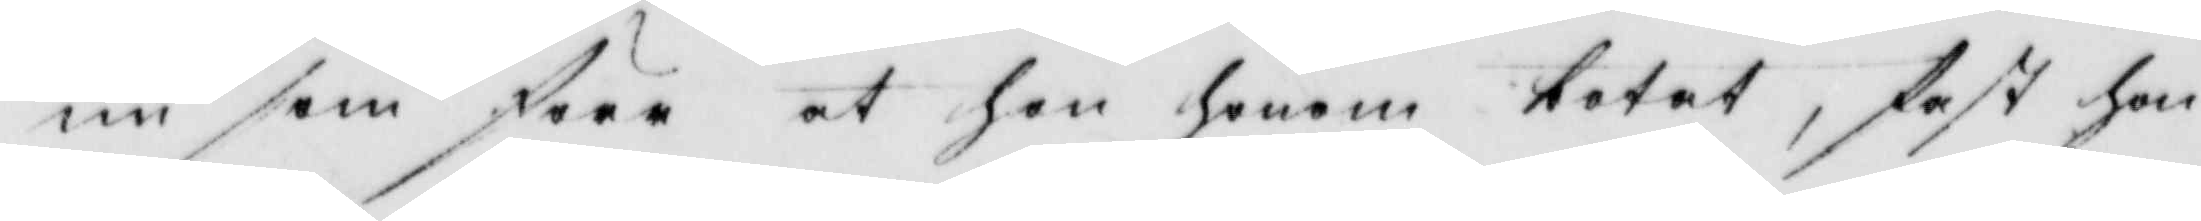nu som förr at hon honom botat, fast hon
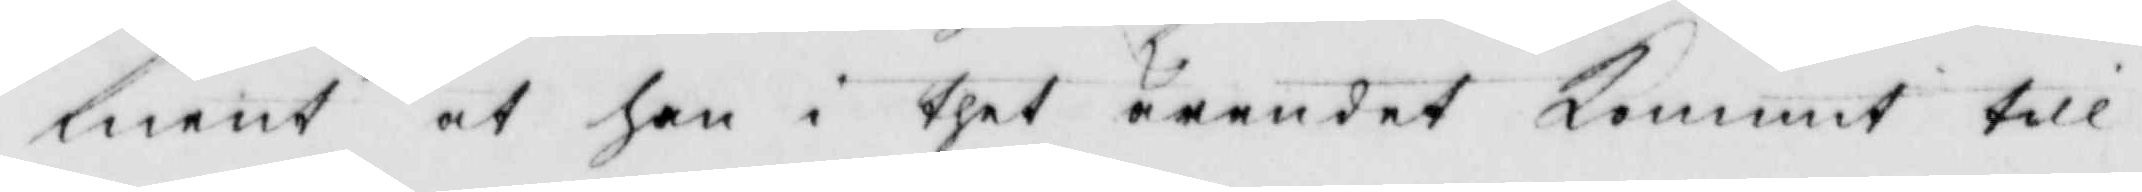ment at han i thet ärendet kommit till
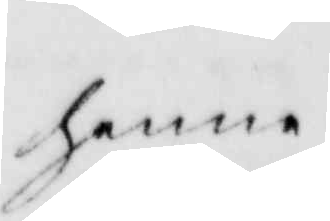henne.
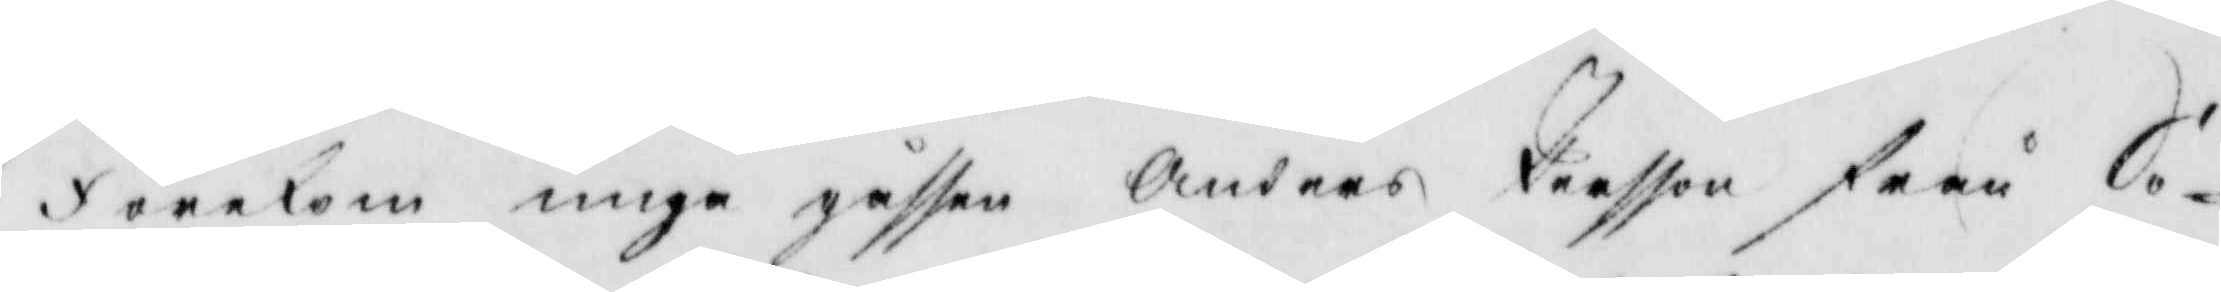Förekom unga gåssen Anders Persson från Sö¬
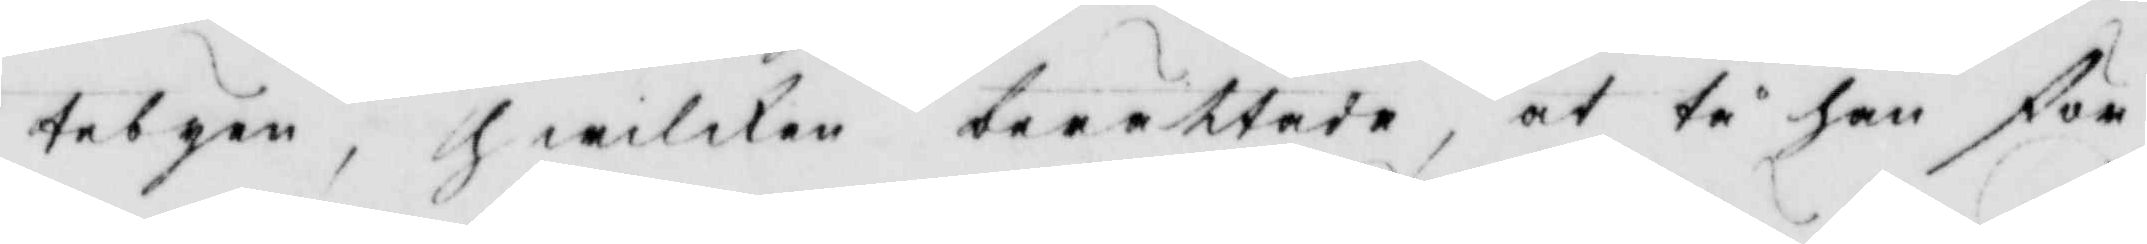tebyen, hwilken berättade, at tå han för
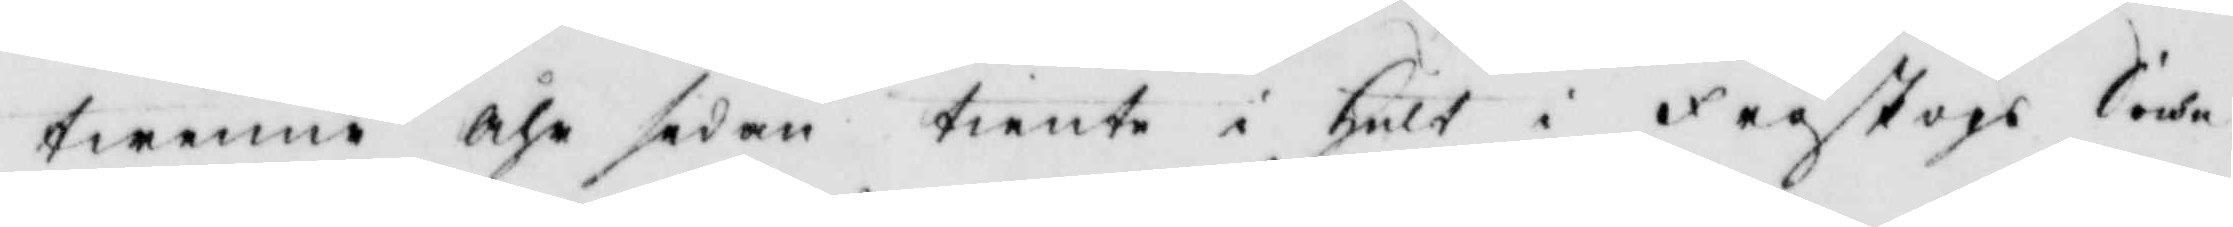twenne åhr sedan tiente i Hult i fagskogs Sochn
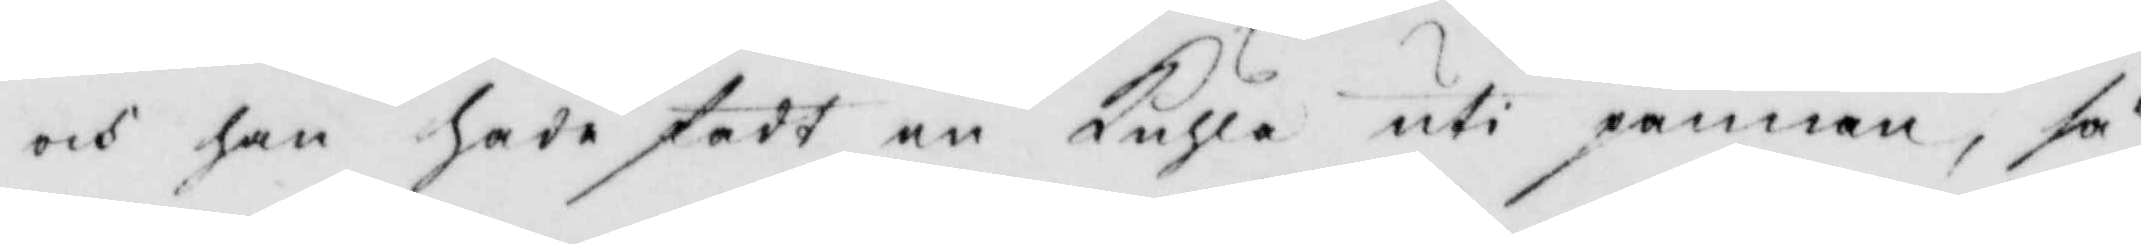och han hade fådt en kuhla uti pannen, så
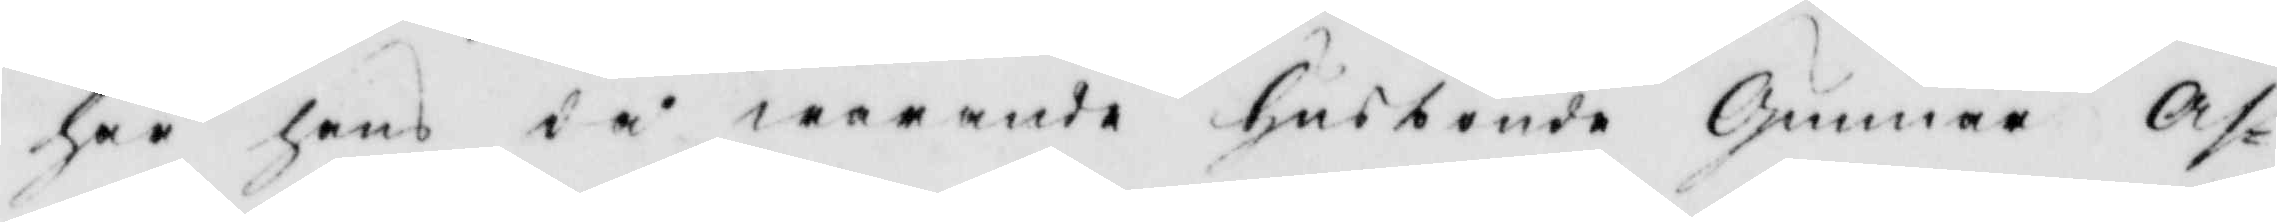har hans då warande husbonde Gunnar Af¬
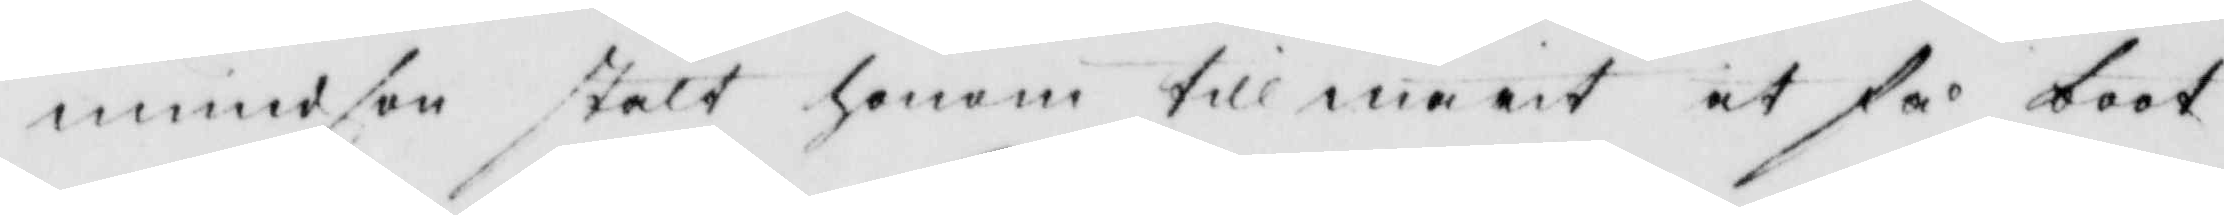mundson stält honom till marit at få boot
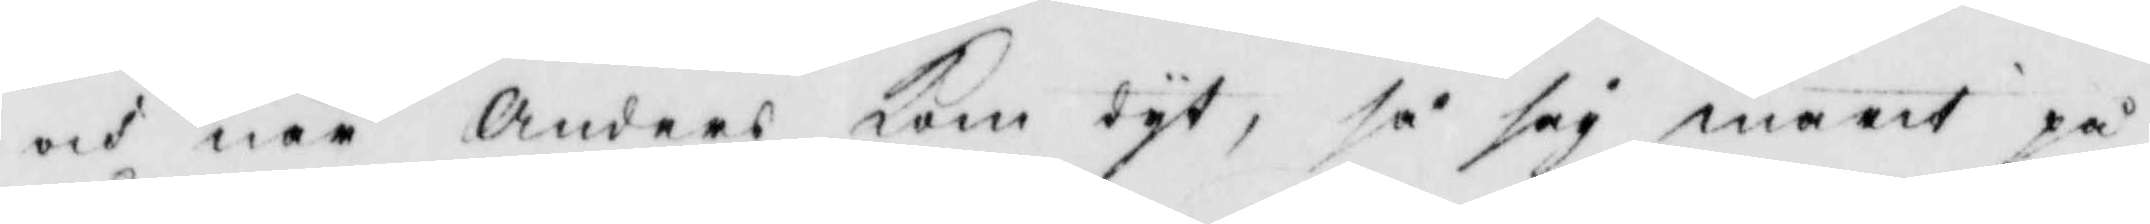och när Anders kom dyt, så såg marit på
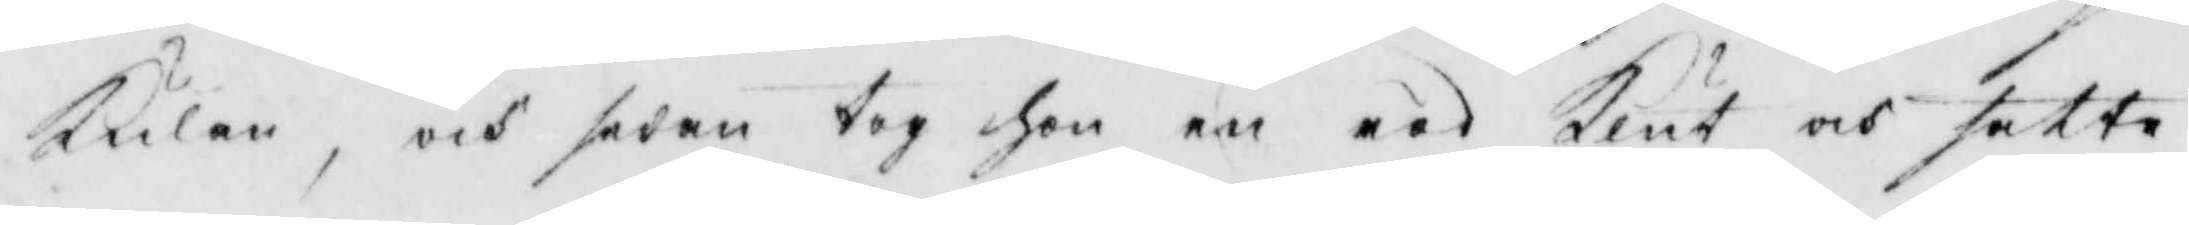Kulan, och sedan tog hon en röd Klut och satte
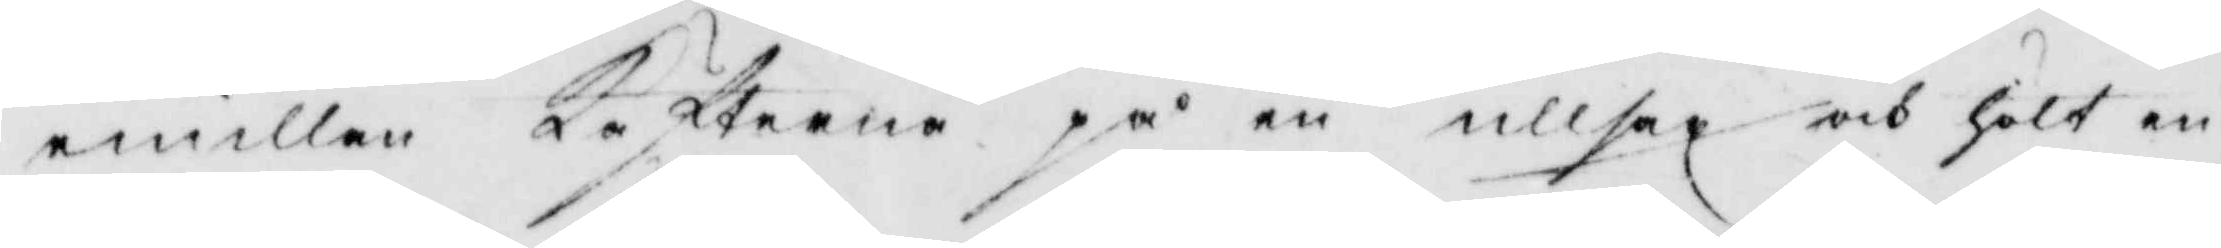emillan Käfterne på en ullsax och hölt en
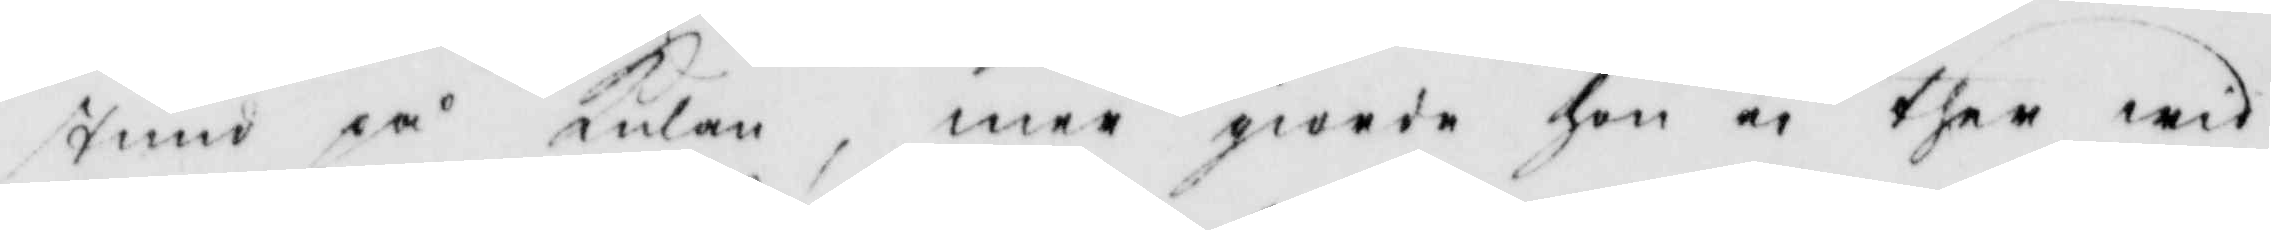stund på Kulan, mer giorde hon ei ther wid
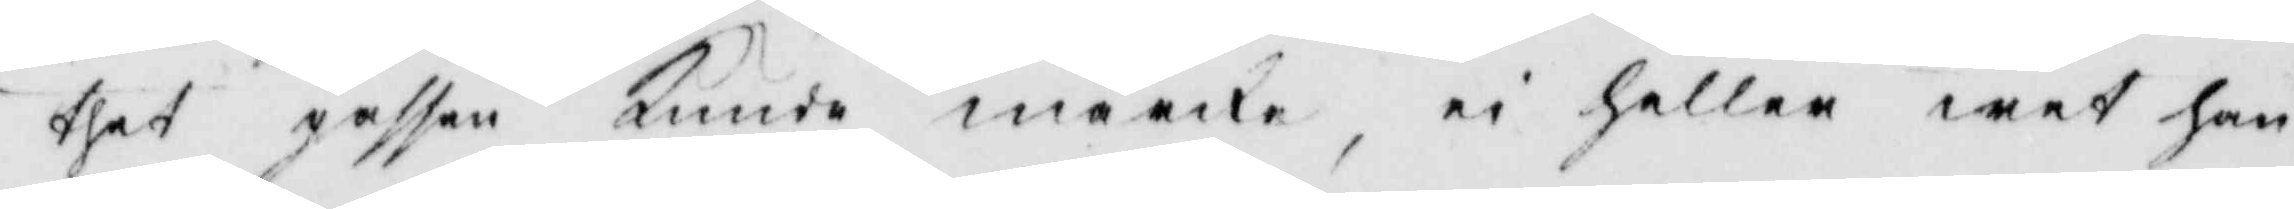thet gåssen Kunde märcka, ei heller wet han
